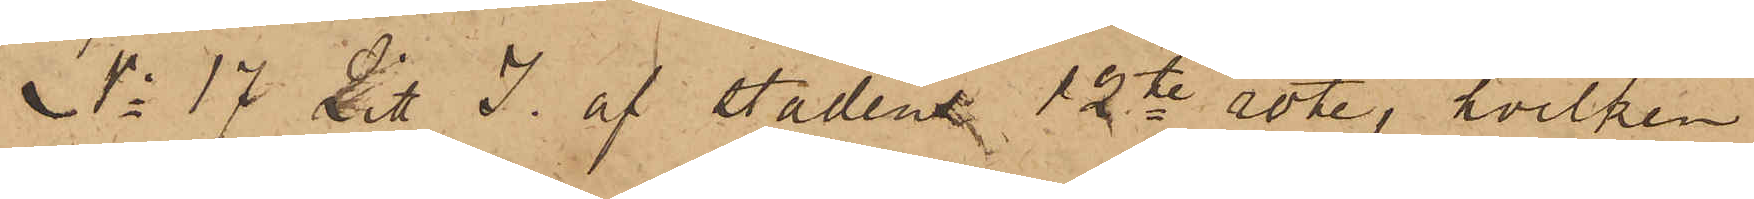No 17 Litt I. af stadens 12te rote, hvilken
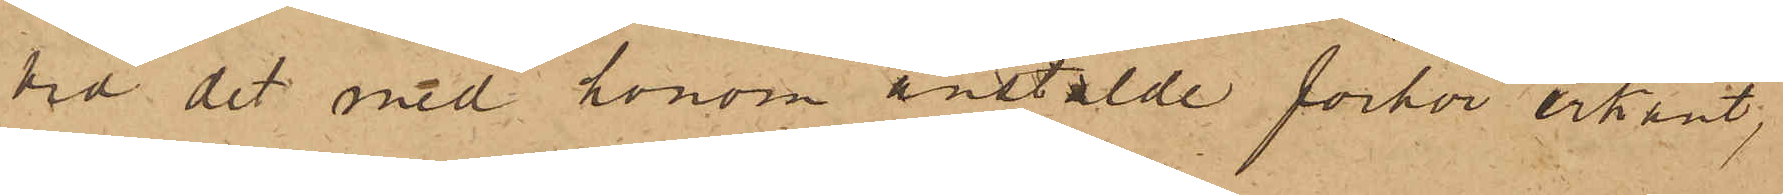vid det med honom anstälde förhör erkänt,
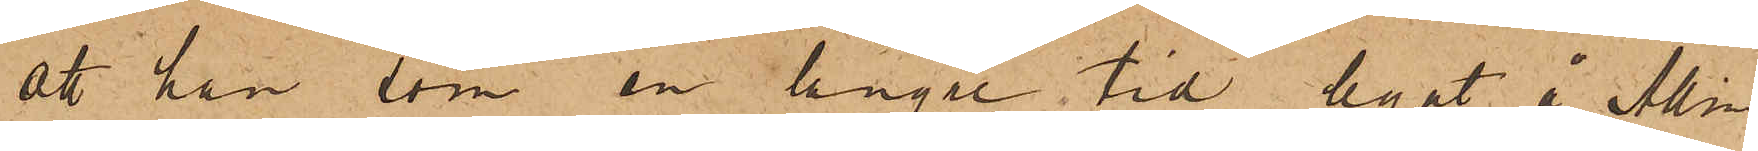att han, som en länge tid legat å Allm
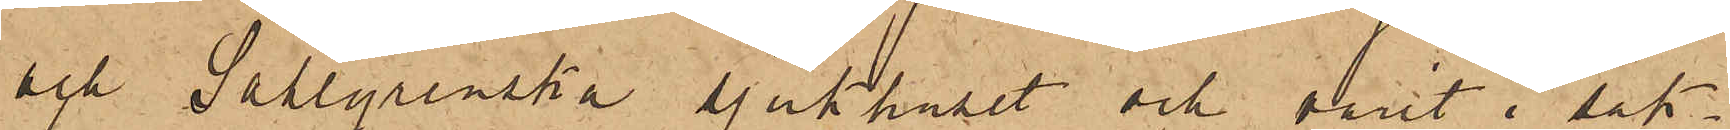och Sahlgrenska sjukhuset och varit i sak¬
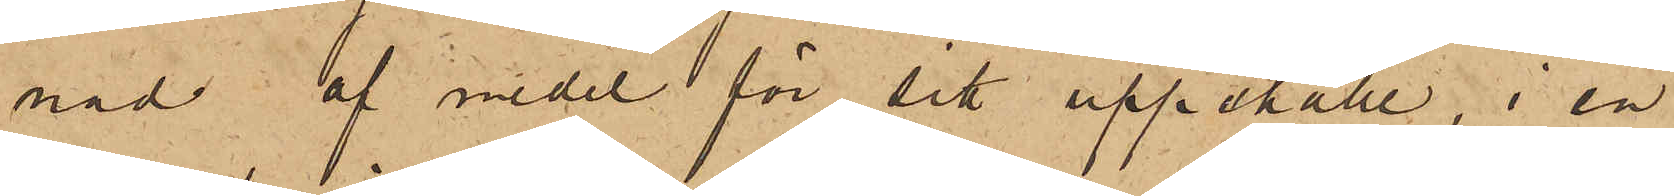nad af medel för sitt uppehälle, i en
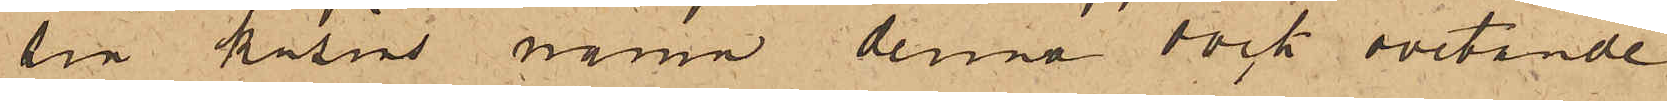sin kusins namn denna dock ovetande
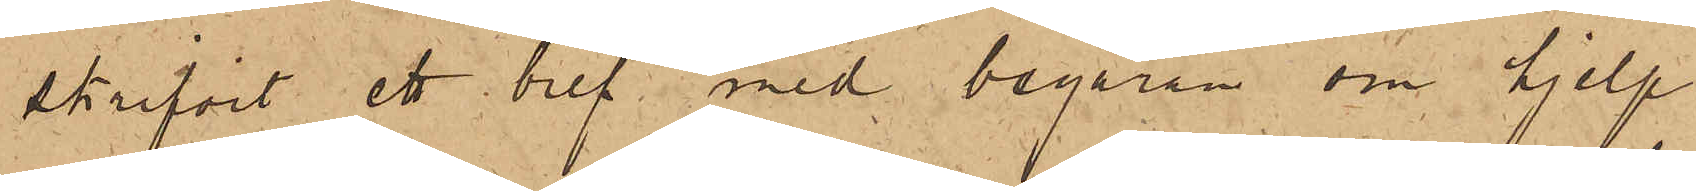skrifvit ett bref med begäran om hjelp
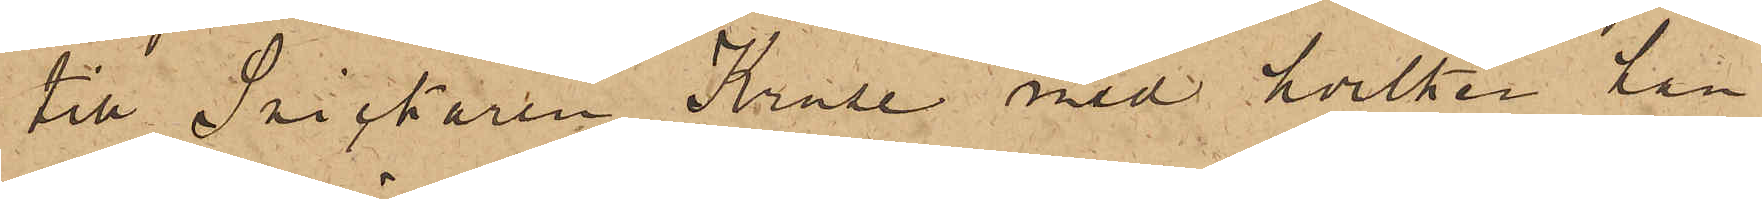till Snickaren Kruse med hvilken han
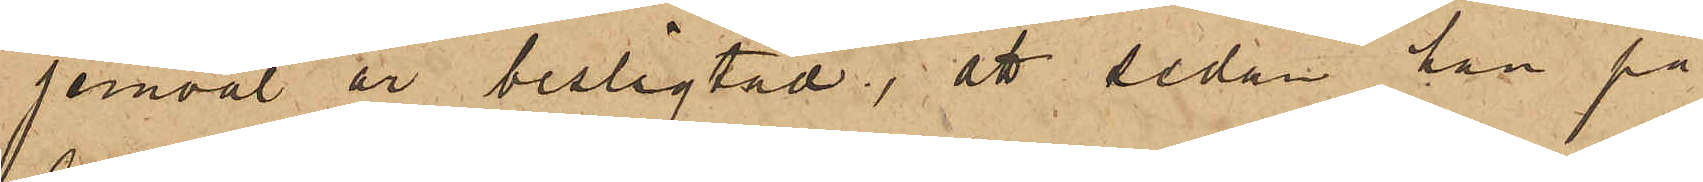jemväl är beslägtad; att sedan han på
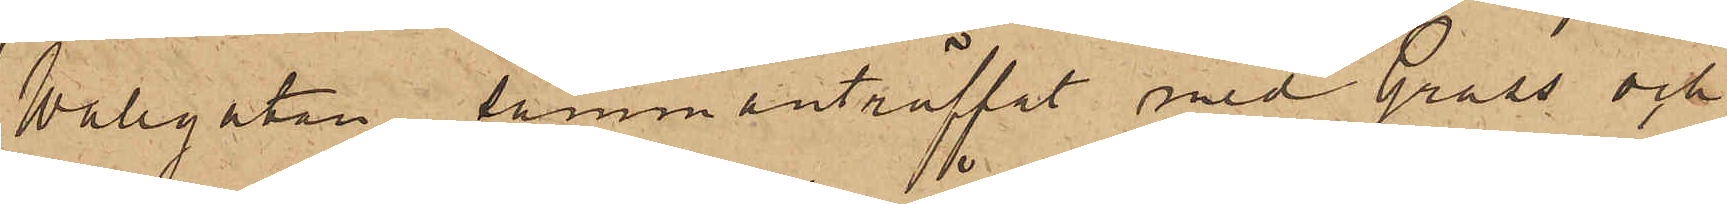Wallgatan sammanträffat med Grass och
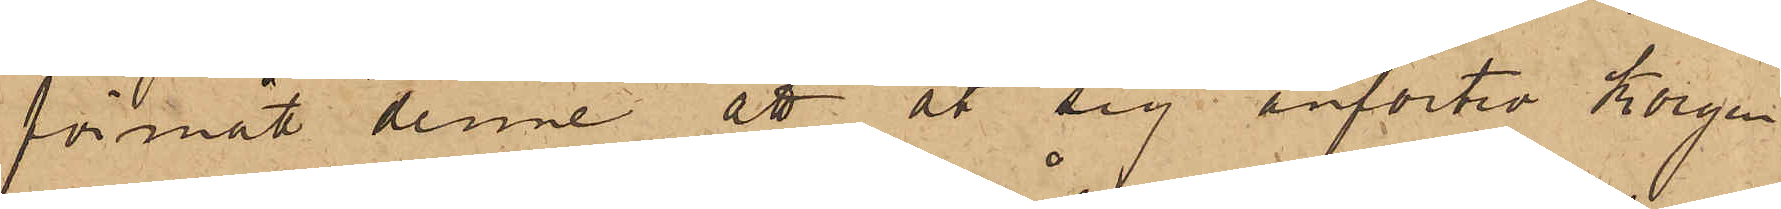förmått denne att åt sig anförtro Korgen
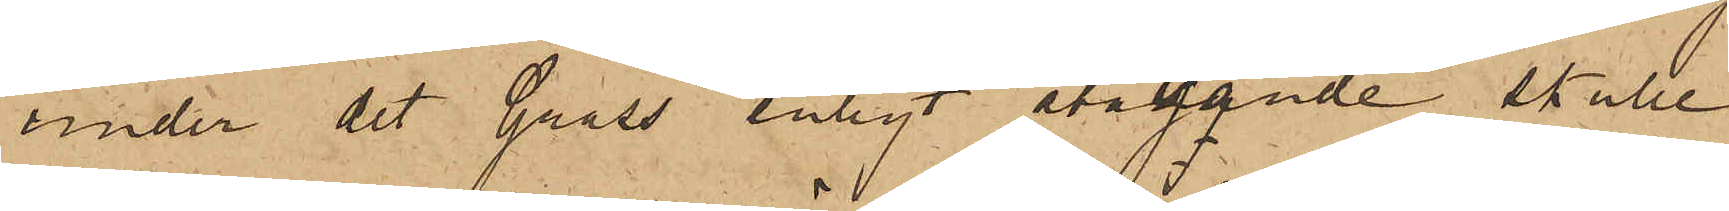under det Grass, enligt åtagande skulle
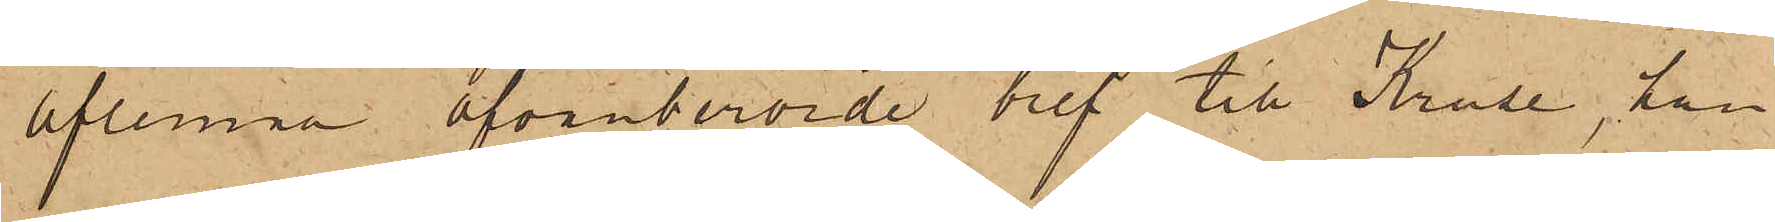aflemna ofvanberörde bref till Kruse, han
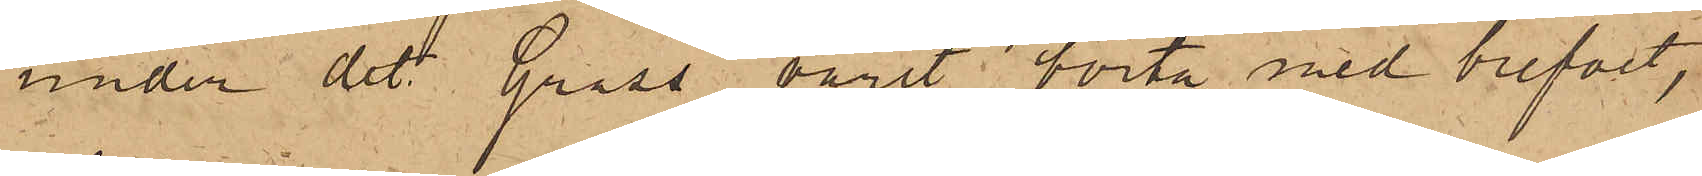under det Grass varit borta med brefvet,
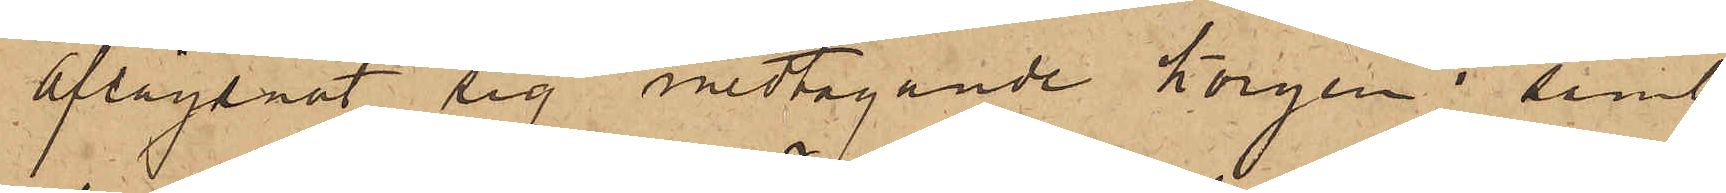aflägsnat sig medtagande korgen; samt
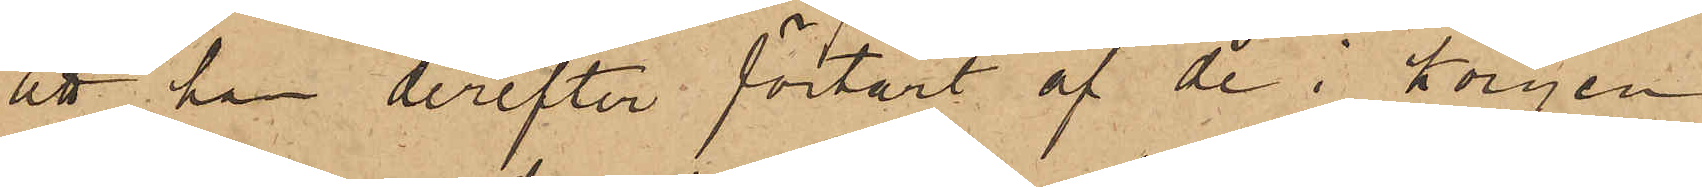att han derefter förtärt af de i korgen
